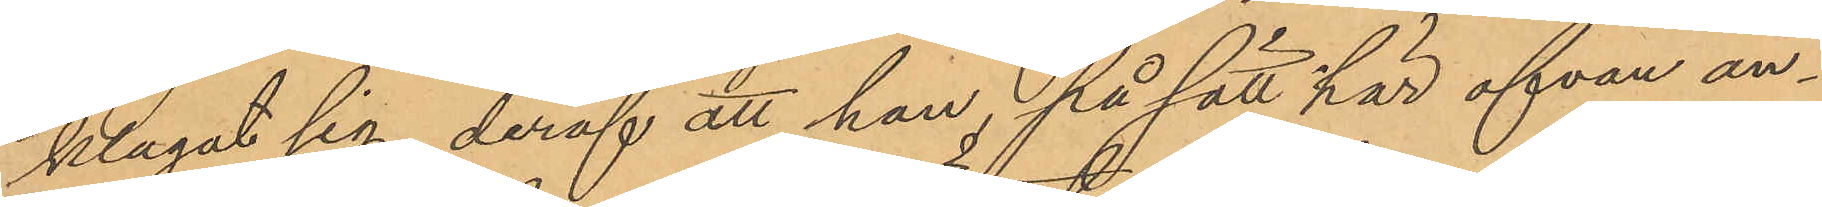klagat sig, deraf att han, på sätt här ofvan an¬
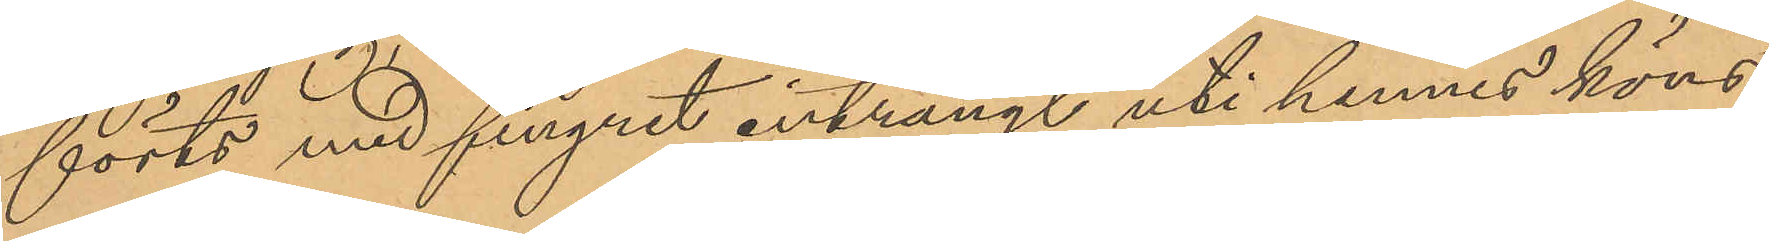förts med fingret inträngt uti hennes köns¬
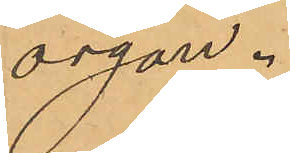organ.
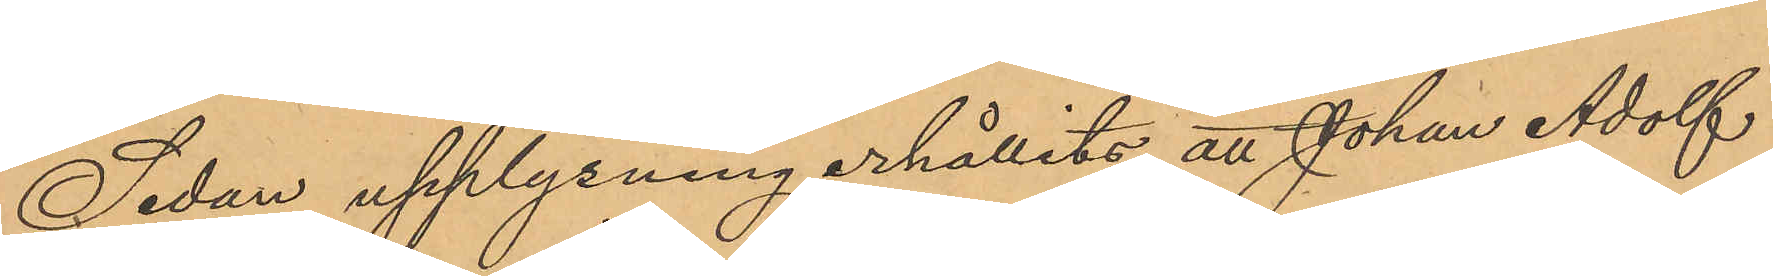Sedan upplysning erhållits att Johan Adolf
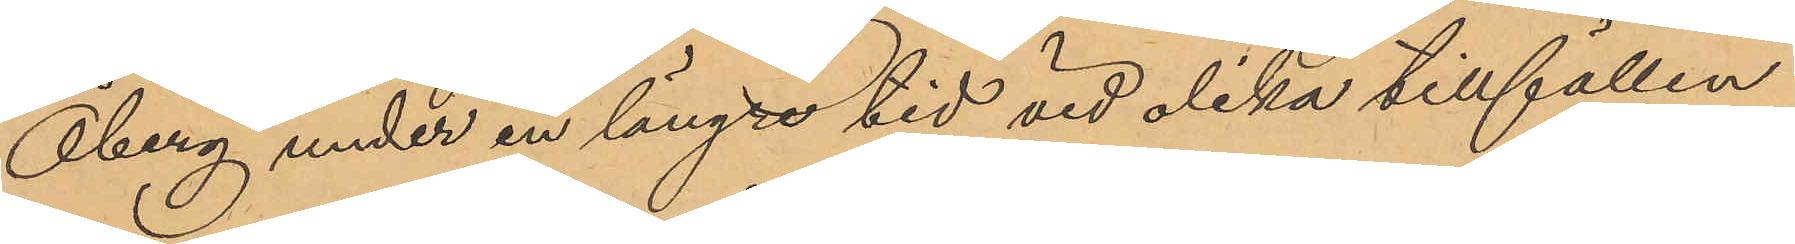Öberg under en längre tid vid olika tillfällen
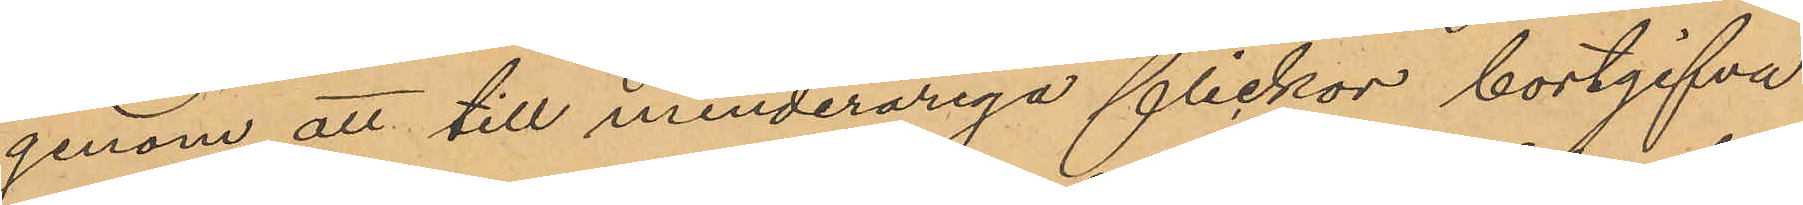genom att till minderåriga flickor bortgifva
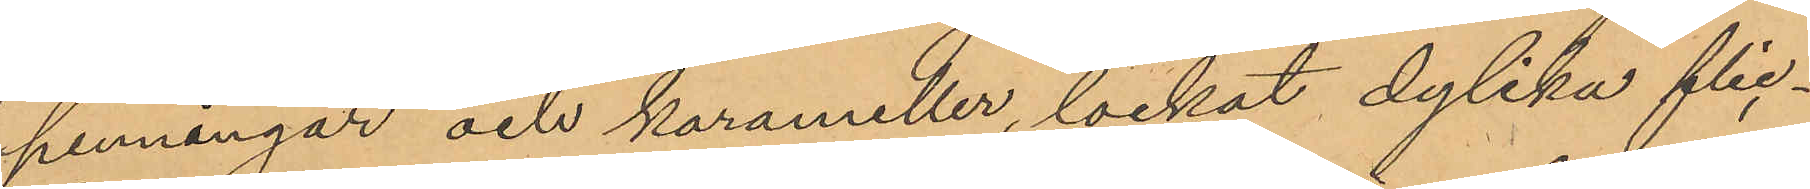penningar och karameller, lockat dylika flic¬
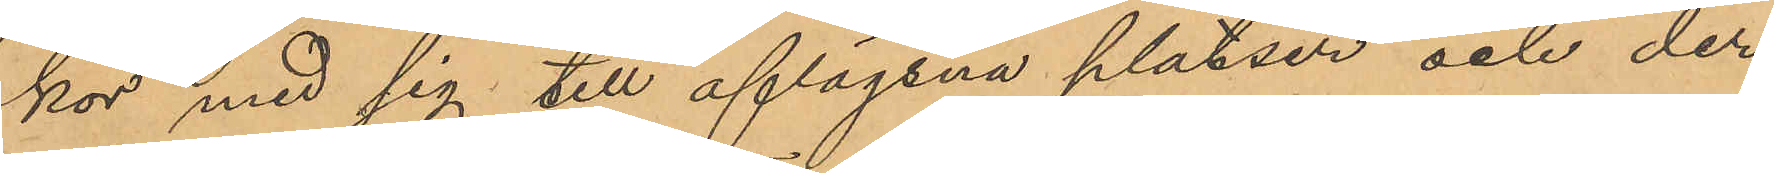kor med sig till aflägsna platser och der
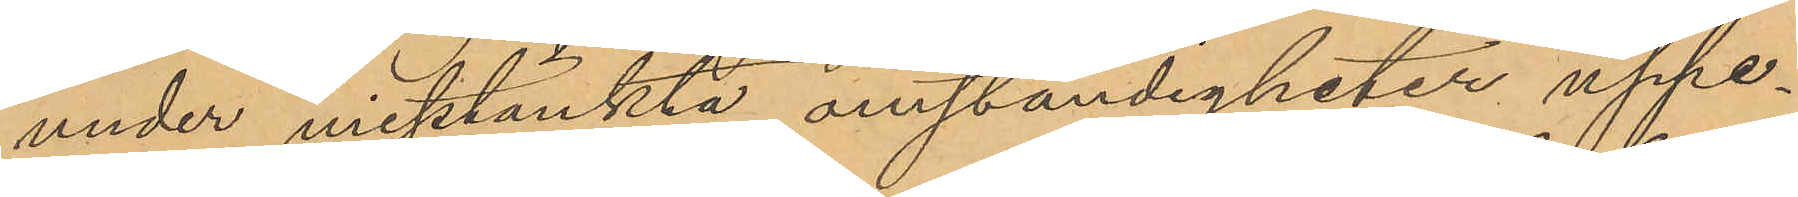under misstänkta omständigheter uppe¬
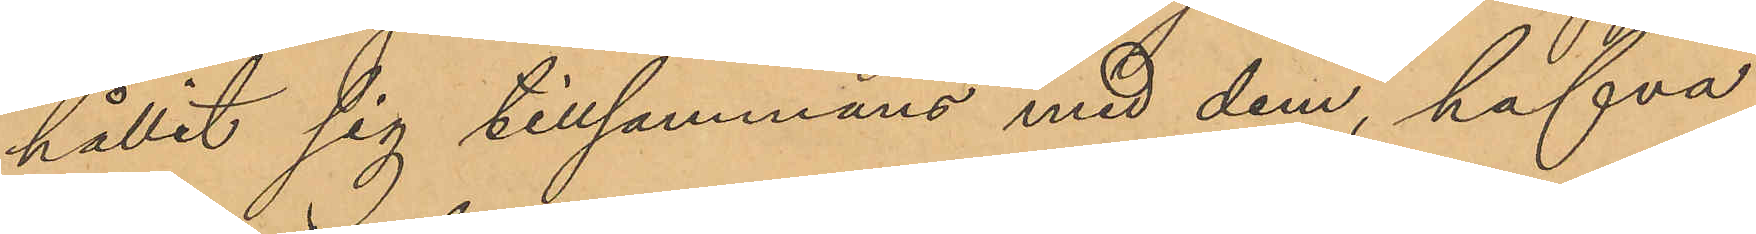hållit sig tillsammans med dem, hafva
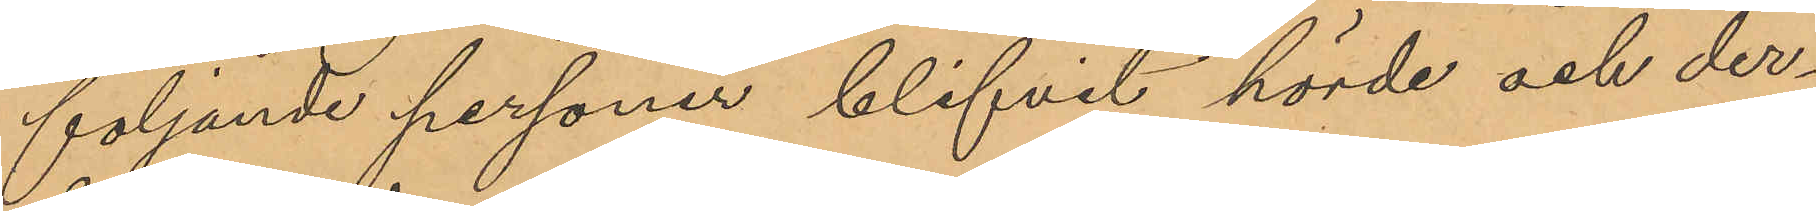följande personer blifvit hörde och der¬
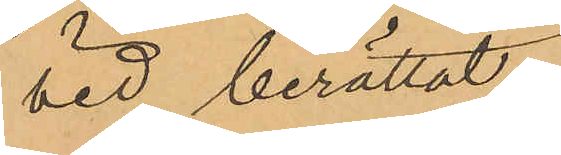vid berättat:
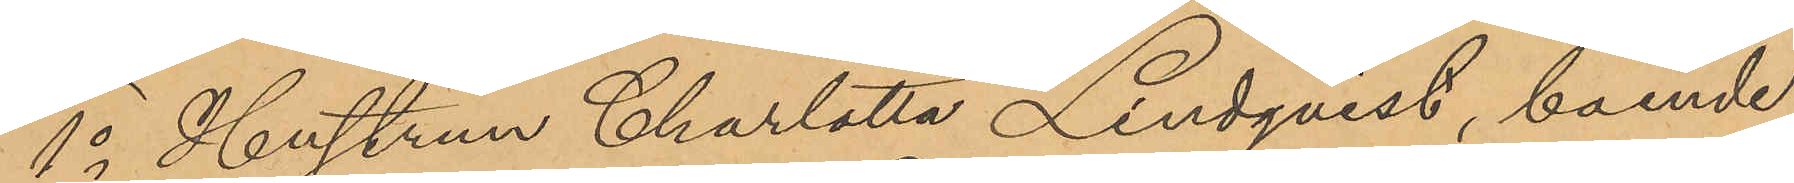1o Hustrun Charlotta Lindqvist, boende
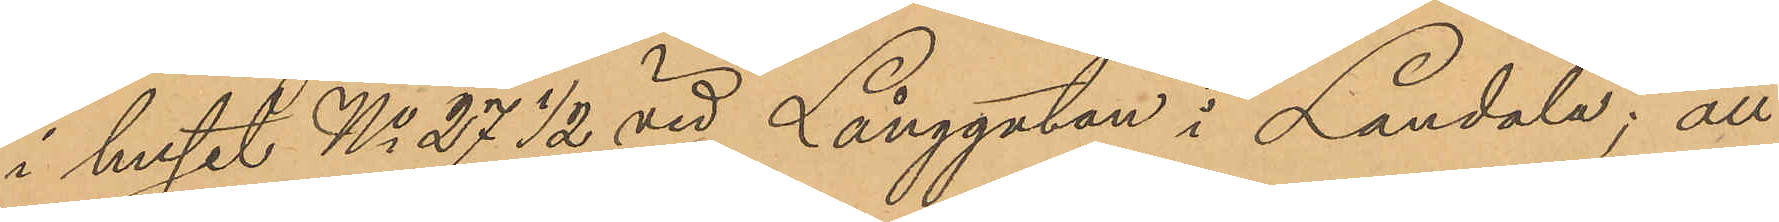i huset No 27 ½ vid Långgatan i Landala; att
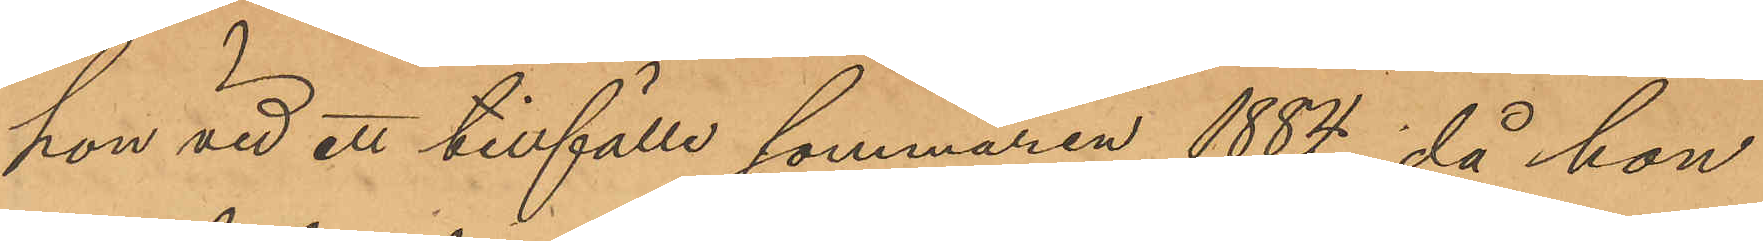hon vid ett tillfälle sommaren 1884, då hon
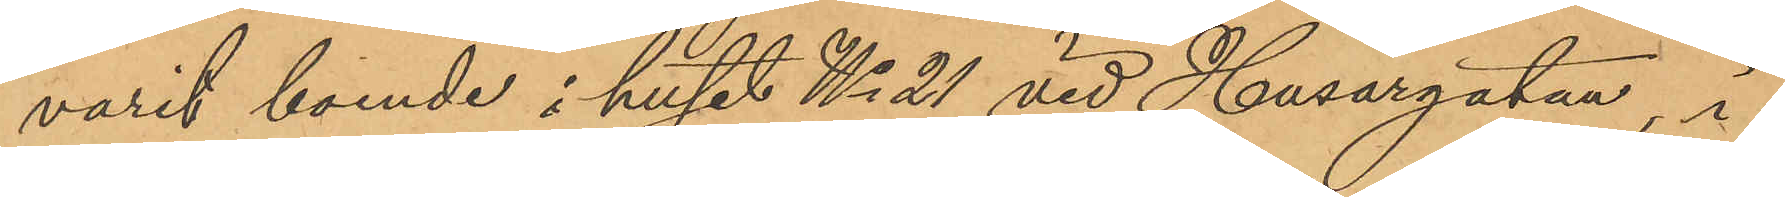varit boende i huset No 21 vid Husargatan, i
